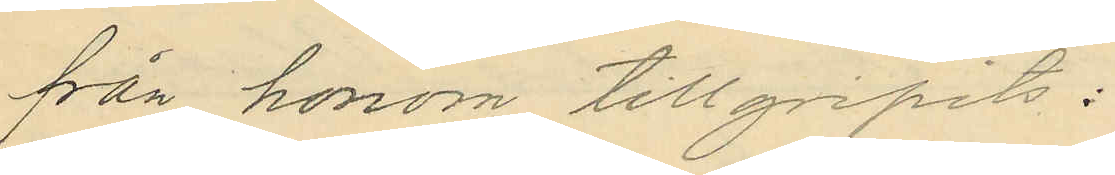från honom tillgripits:
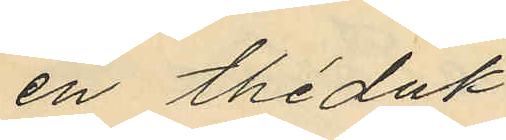en théduk
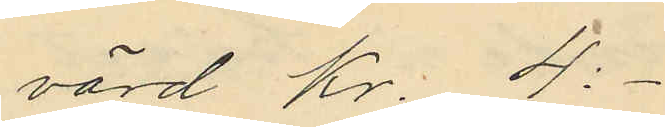värd Kr. 4:-
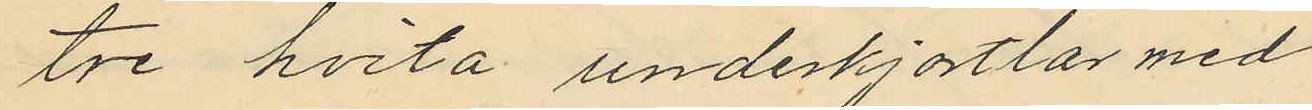tre hvita underkjortlar med
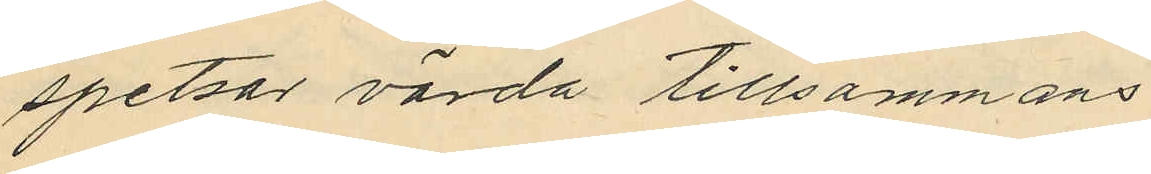spetsar värda tillsammans
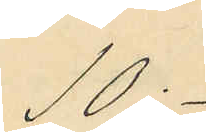10:-
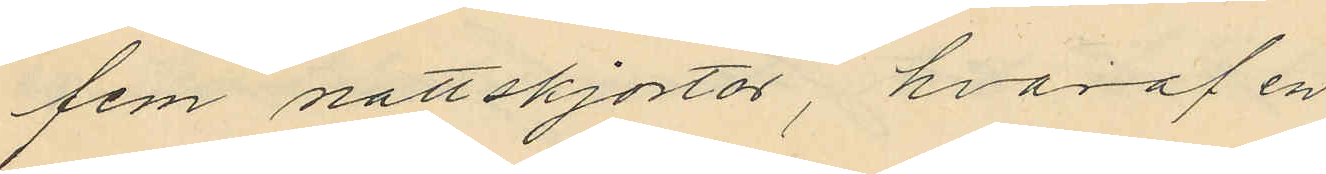fem nattskjortor, hvaraf en
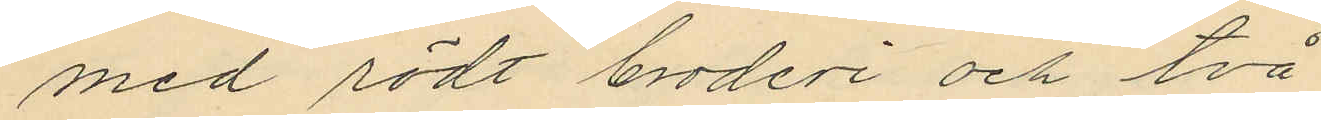med rödt broderi och två
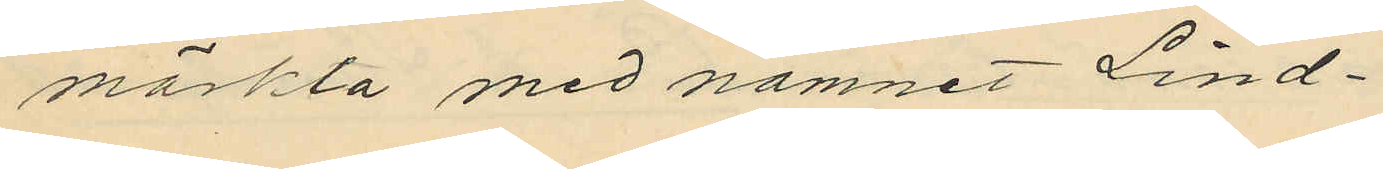märkta med namnet Lind¬
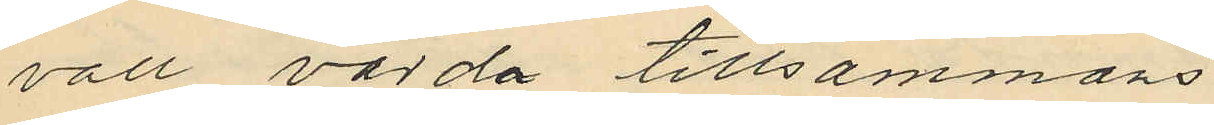vall värda tillsammans
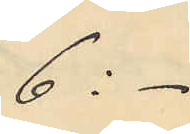6:-
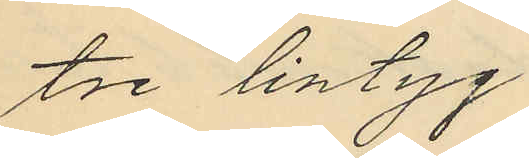tre lintyg
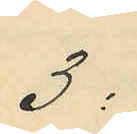3:
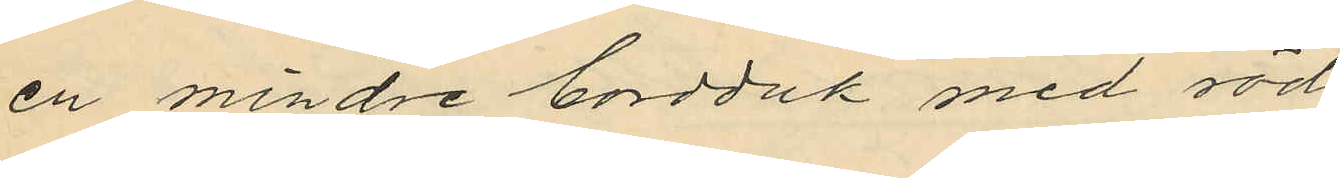en mindre bordduk med röd
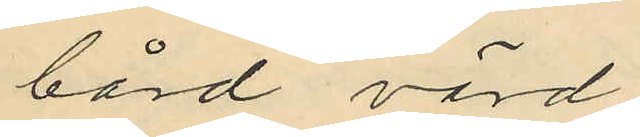bård värd
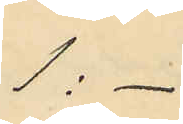1:-
